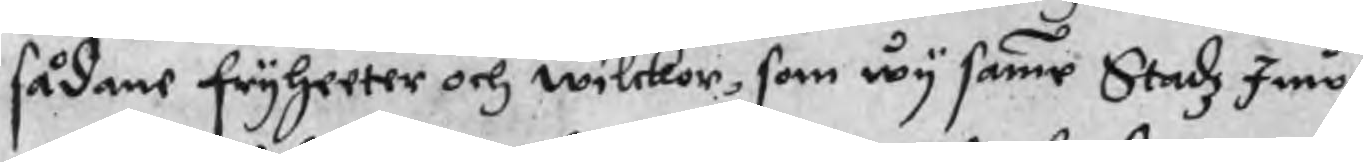sådane fryheeter och wilckor, som wy samme Stadz Inwå¬
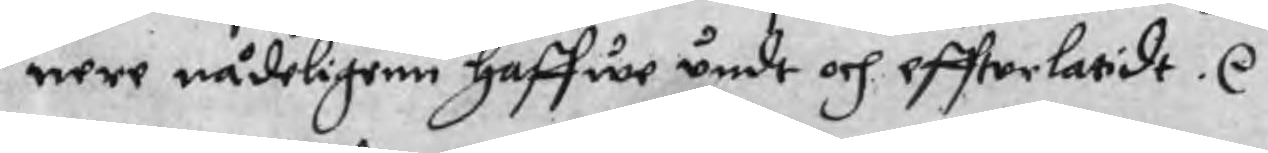nere nådeligenn haffwe undt och effterlatidt. r .
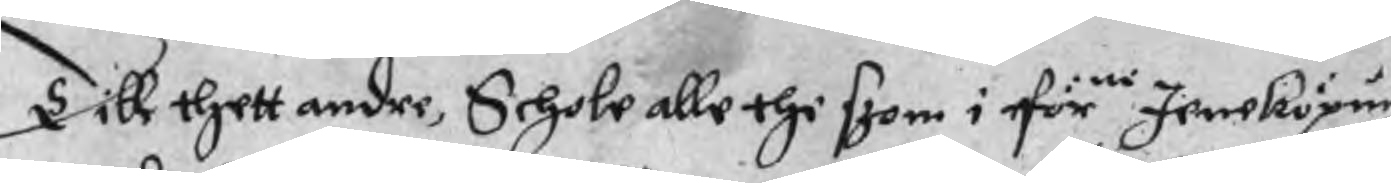Till thett andre, Schole alle thi szom i förne Jeneköpingz
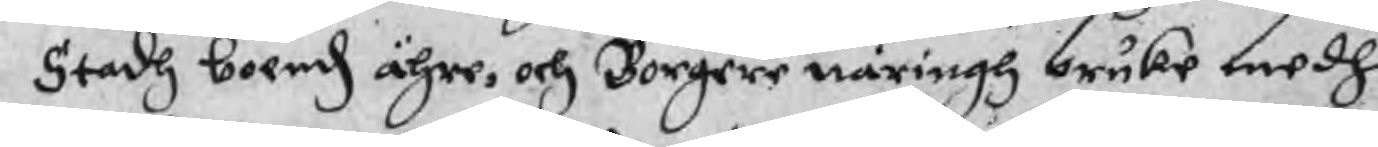Stadh boendz ähre, och Borgere näringh bruke medh
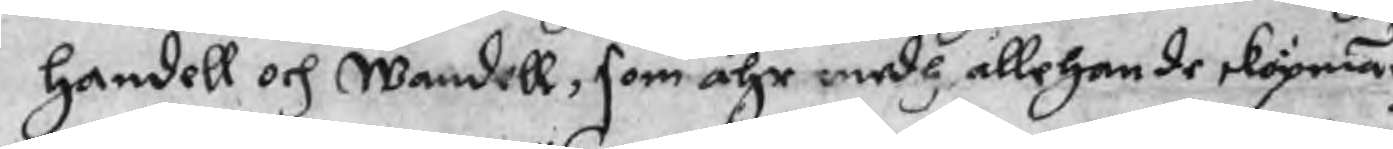Handell och Wandell, som ähr medh allehande sköpnadz
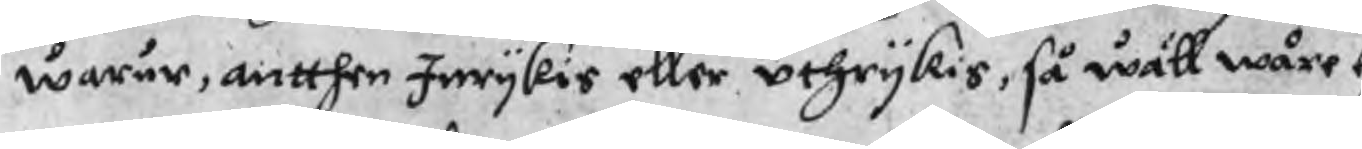warur, antthen Inrykis eller uthrykis, så wäll wåre eg¬
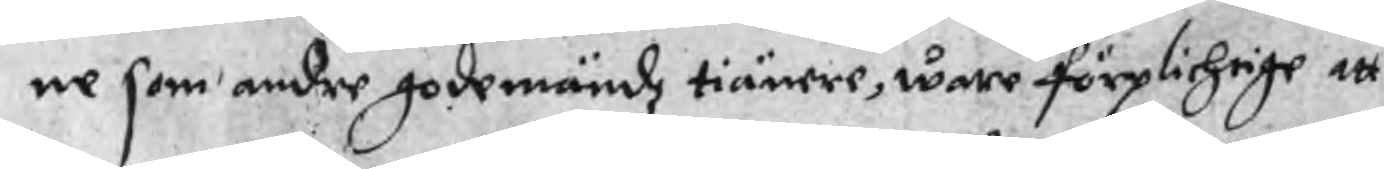ne som andre godemändz tiänere, wore förplichtige att
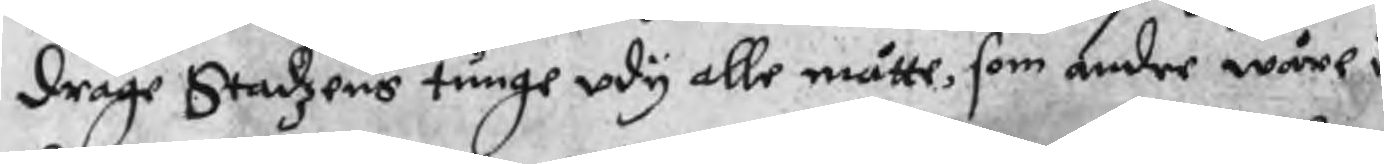drage Stadzens tunge udy alle måtte, som andre wåre un¬
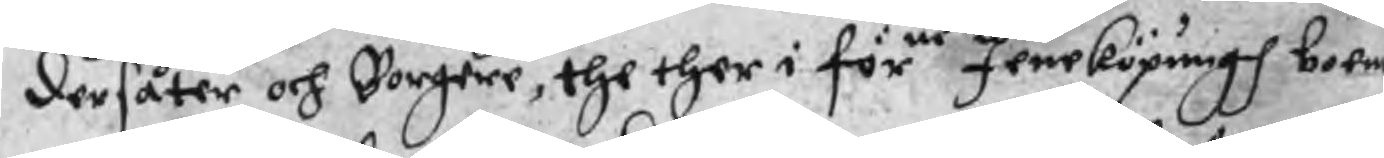dersåter och Borgere, the ther i förne Jeneköpungh boend
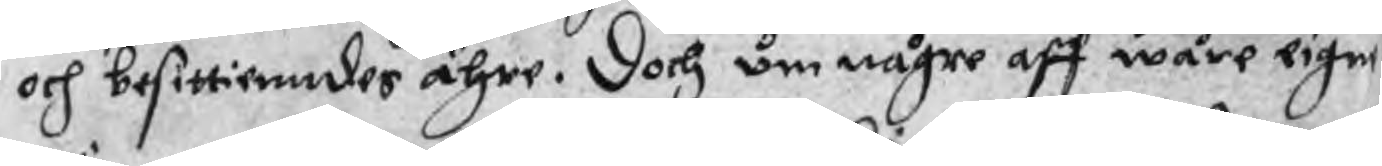och besittienndes ähre. Doch om någre aff wåre eigne
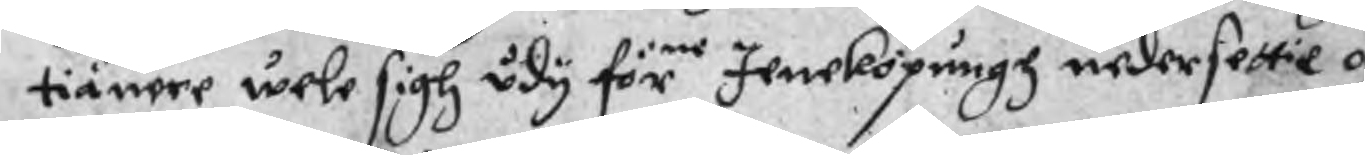tiänere wele sigh udy förne Jeneköpungh nedersettie och
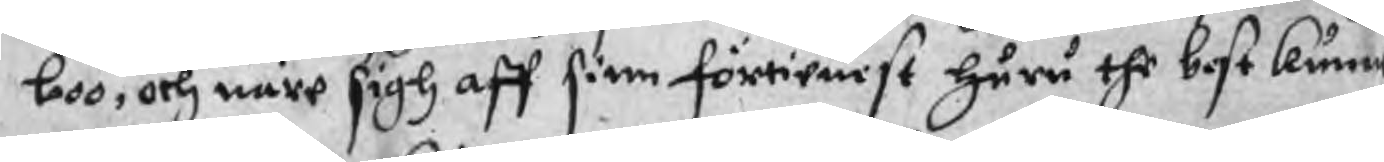boo, och näre sigh aff sinn förtienst huru the best kunne
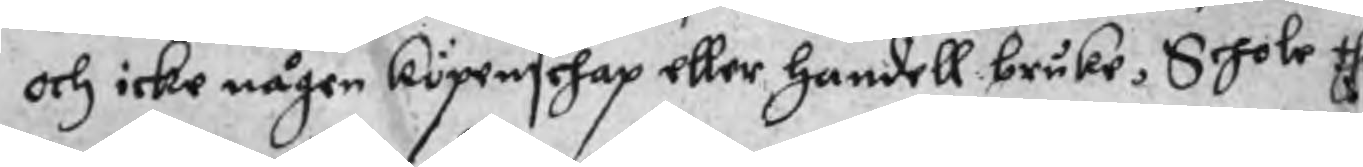och icke någen köpenschap eller Handell bruke, Schole the
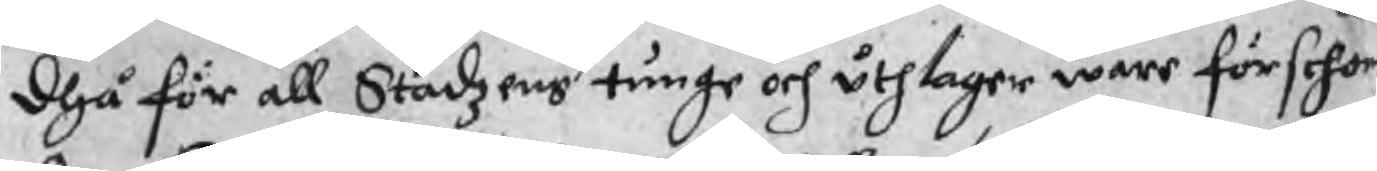dhå för all Stadzens tunge och uthlager ware förschone¬
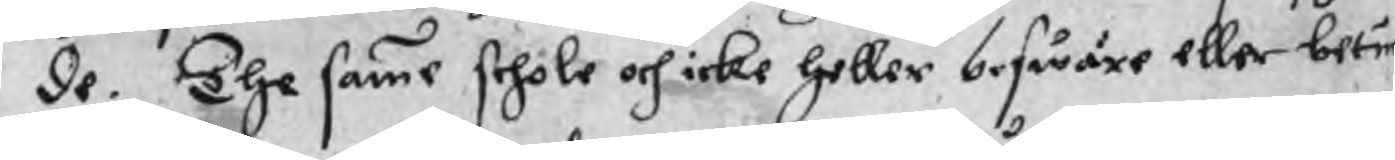de. The samme schole och icke heller beswäre eller betun¬
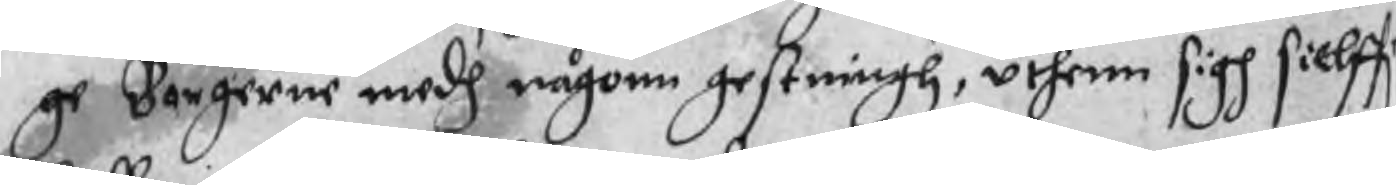ge Borgerne medh någonn gestningh, uthenn sigh sielff
